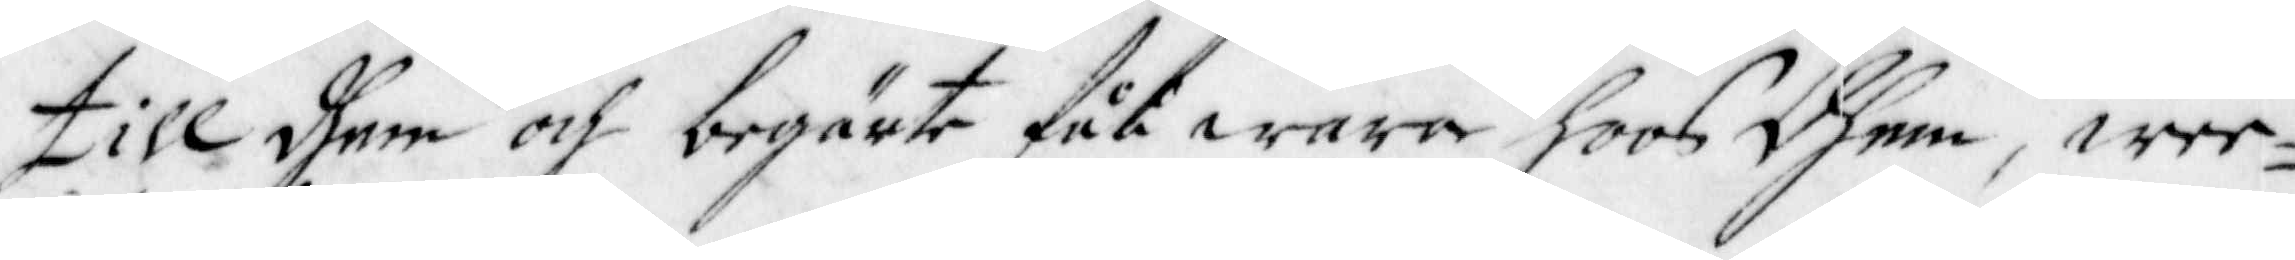till dhem och begärte fåå wara hoos dhem, wee¬
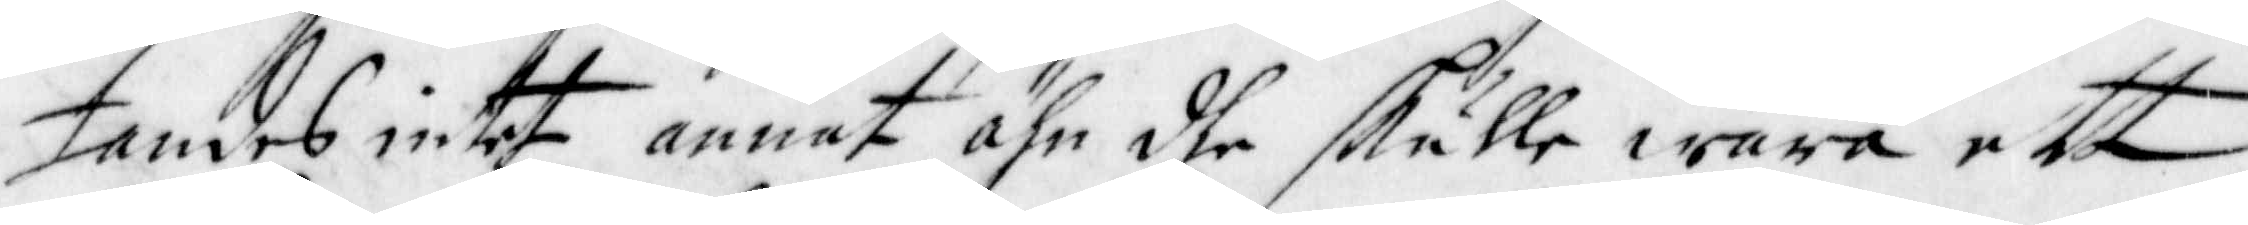tandes intet annat ähn dhe skulle wara ett
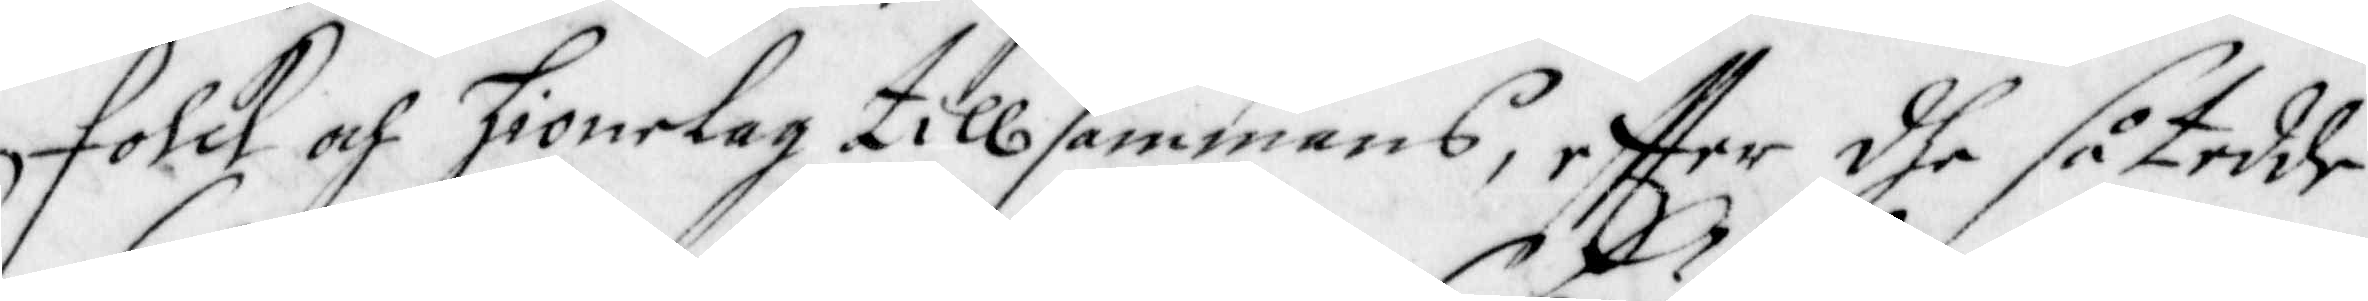Folck af hionelag tillsammans, effter dhe så tedde
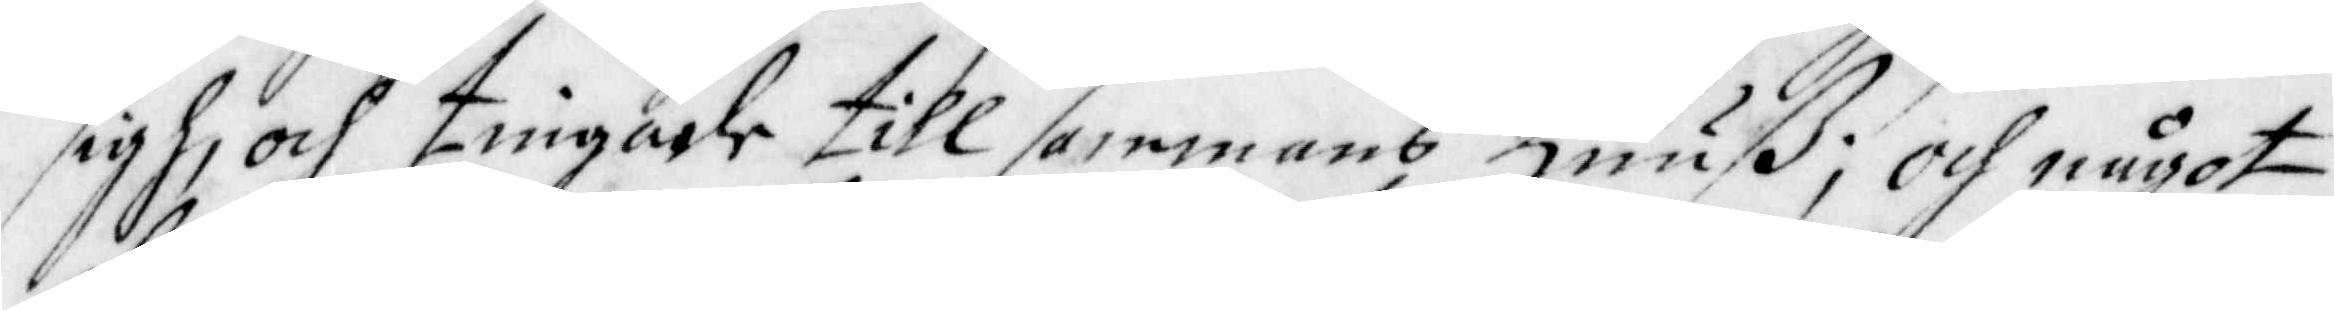sigh, och tingade tillsammans Huuß; Och något
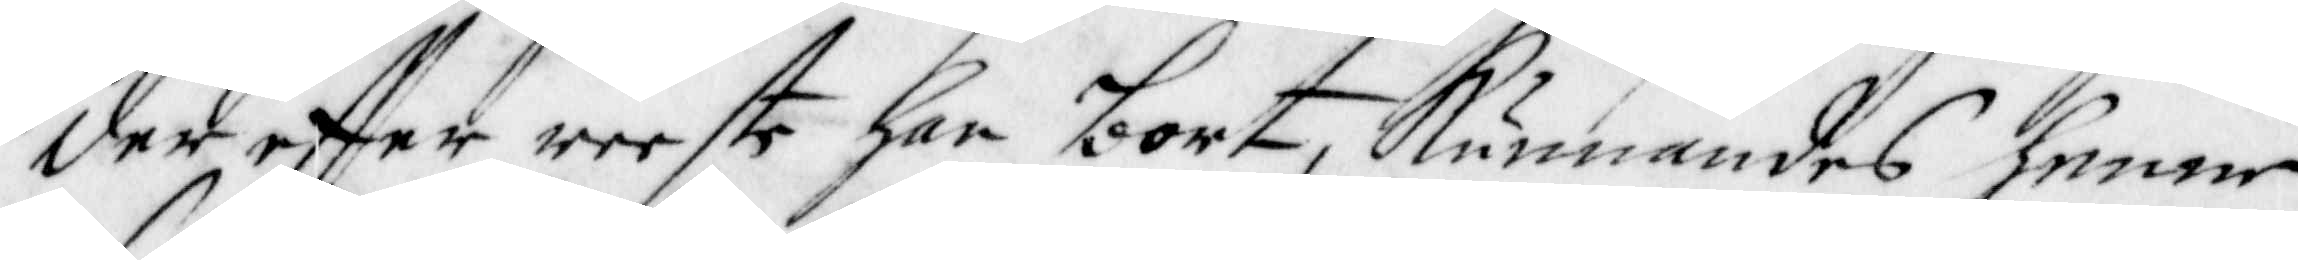der effter reeste han bort, Kunnandes henne
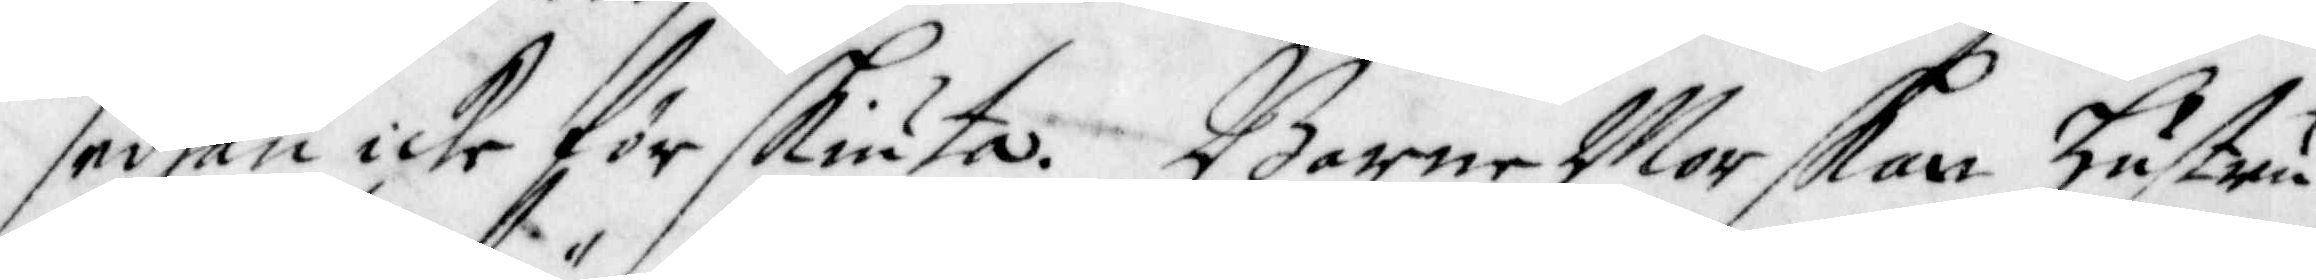sedhan icke förskiuta. Barne Morskan Hustru
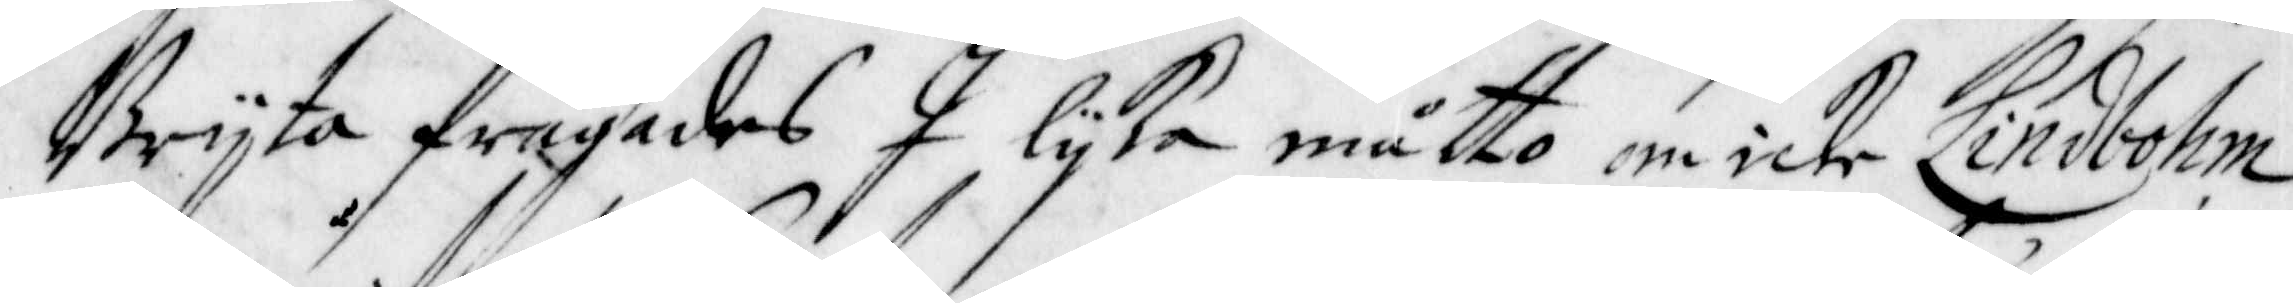Brijta frågades I lijka måtto om icke Lindbohm
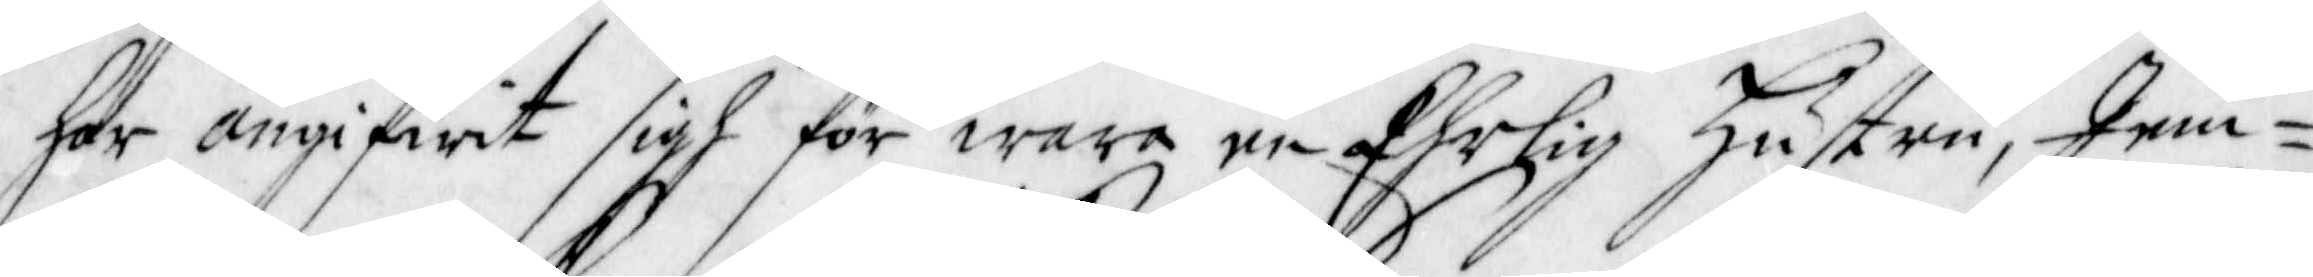har angifwit sigh för wara en Ehrlig Hustru, Jem¬
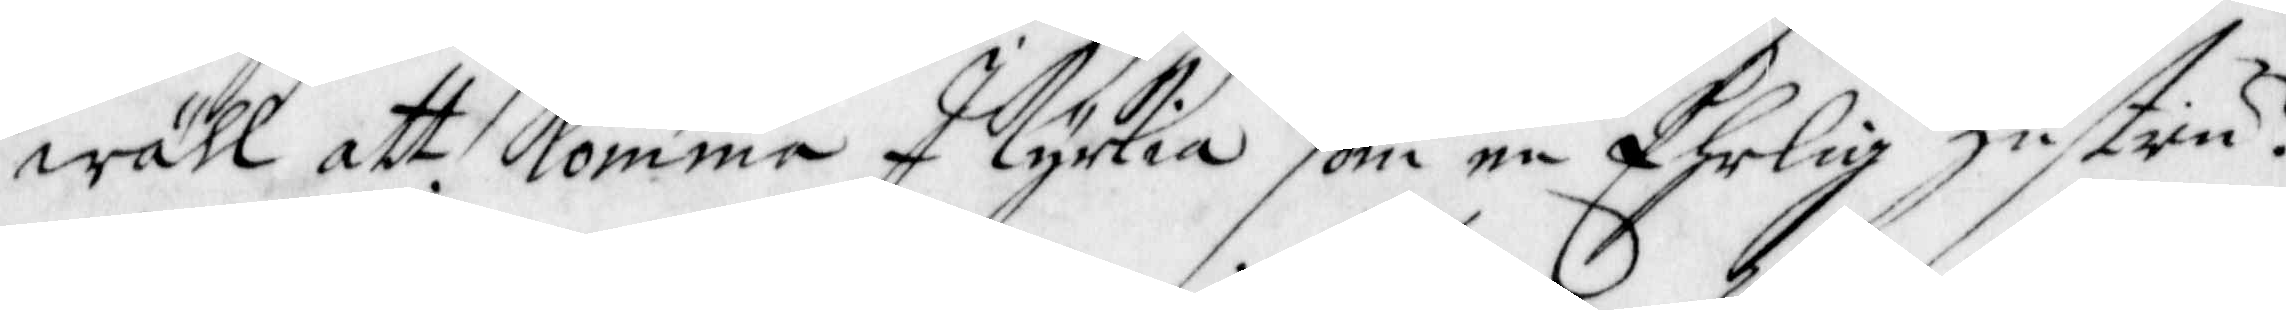wähl att Komma I Kyrkia som en Ehrlig Hustru?
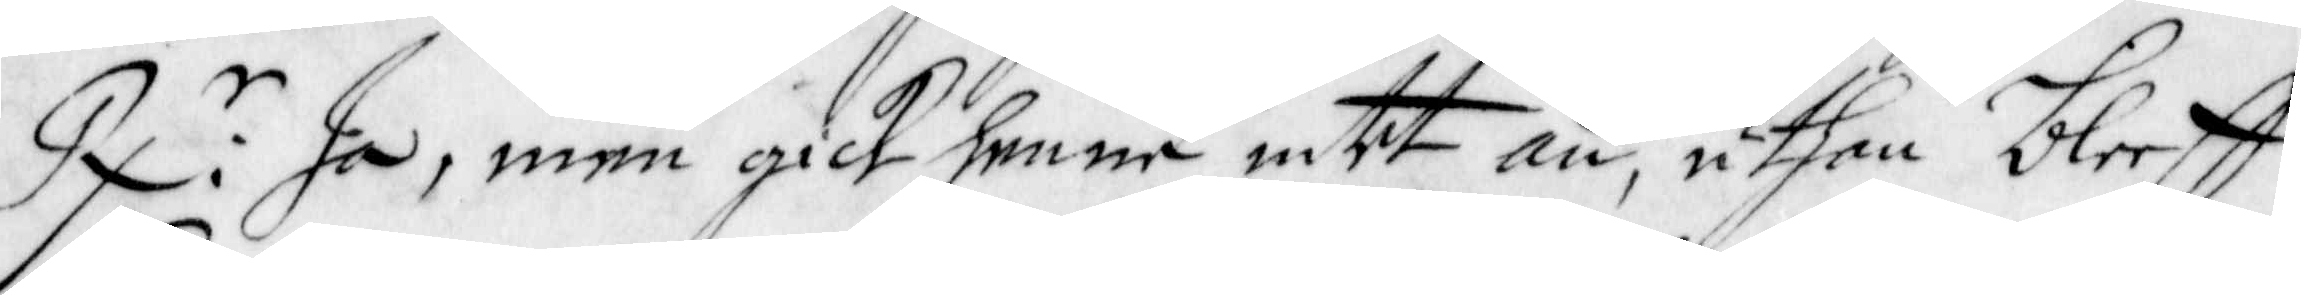R:r Ja, men gick henne intet an, uthan bleeff
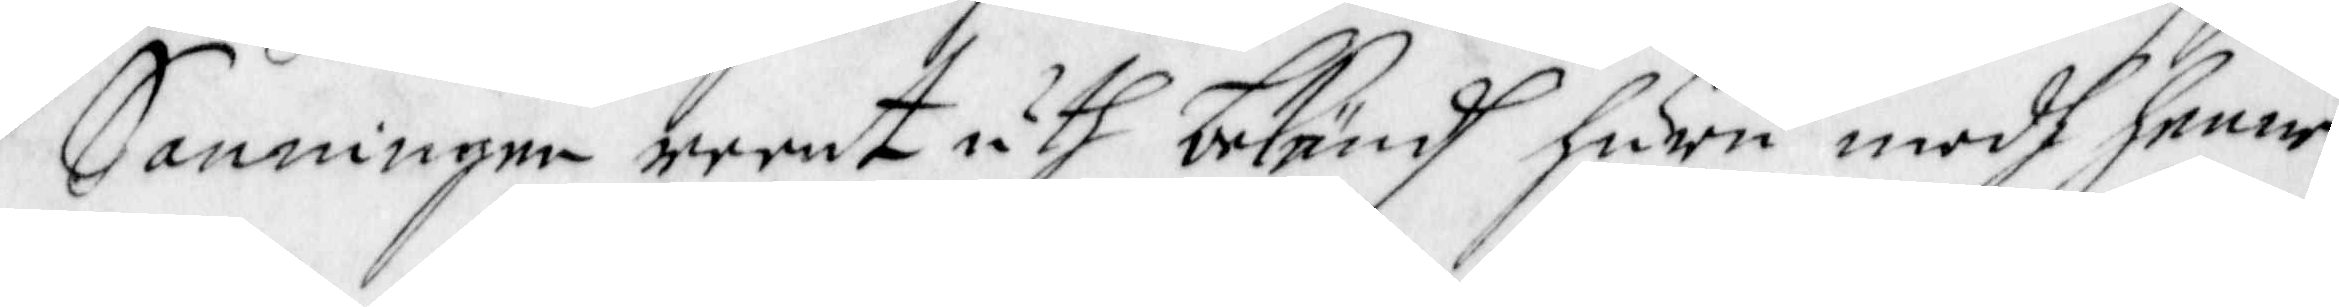Sanningen reent uth bekändh huru medh henne
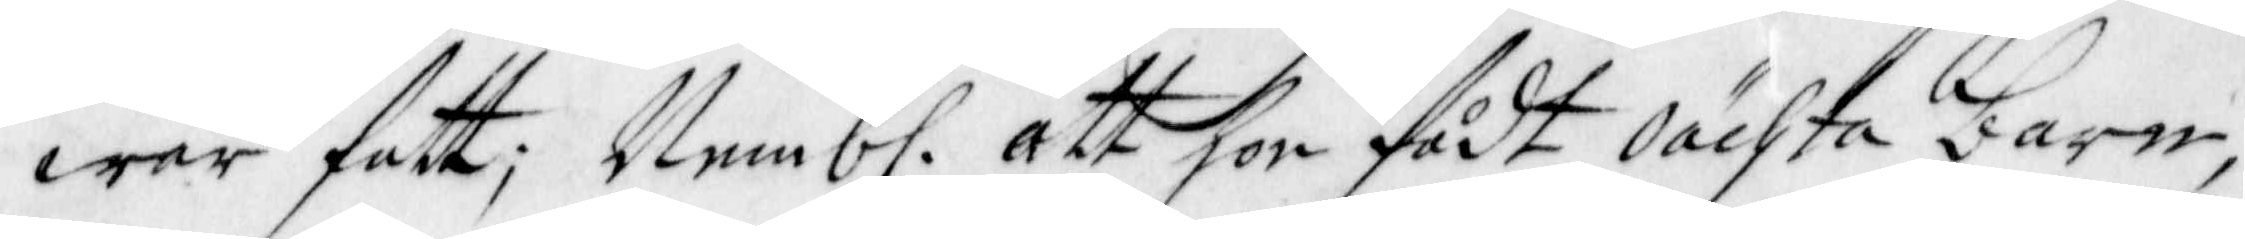war fatt; Nemb. att hon födt Oächta barn,
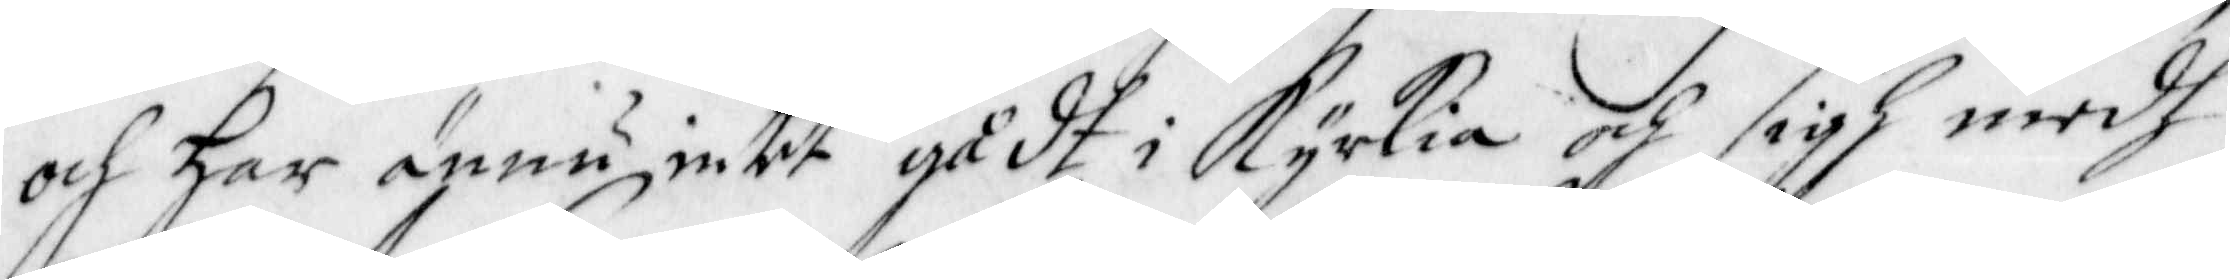och har ännu intet gådt i Kyrkia och sigh medh
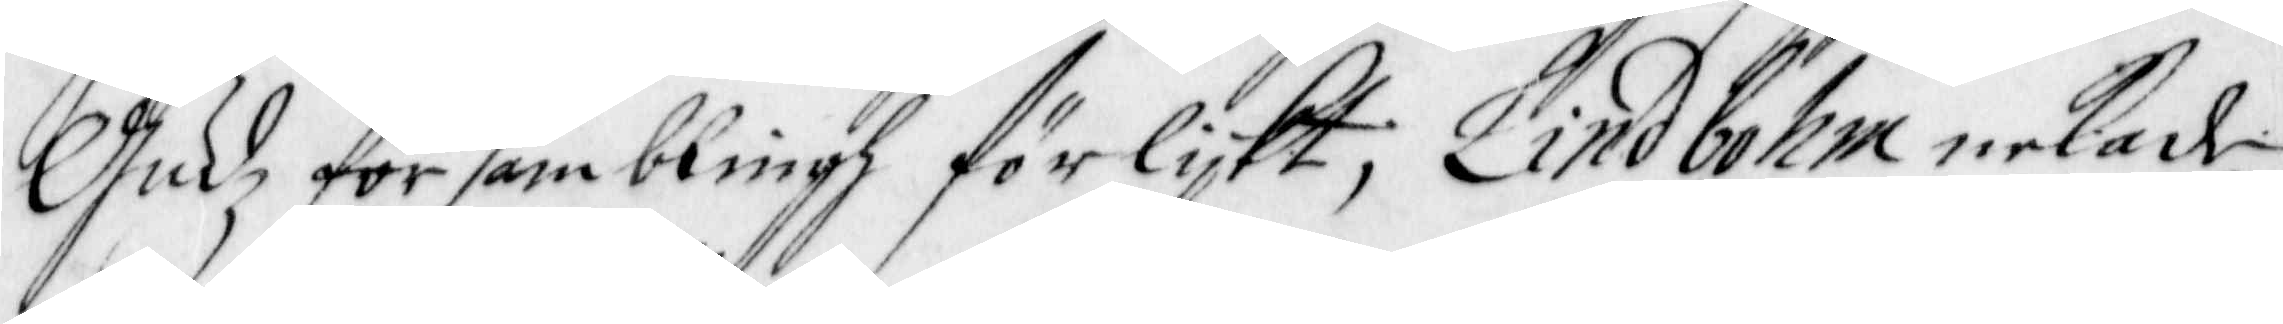Gudz församblingh förlijkt, Lindbohm nekade
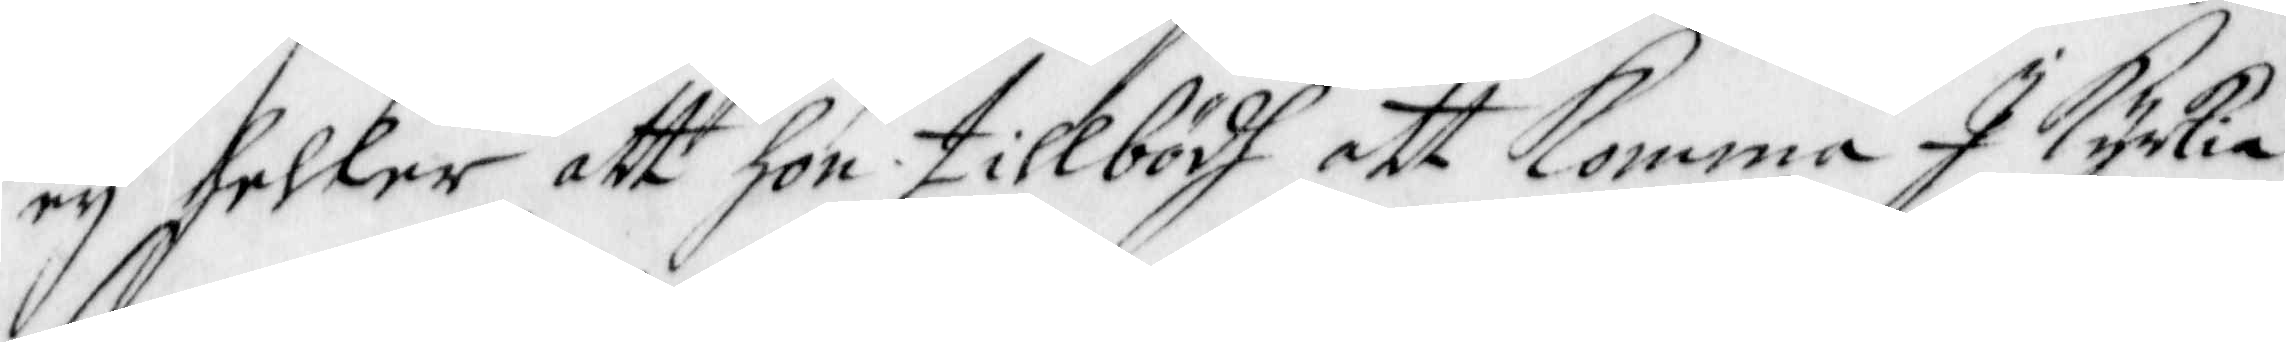ey heller att hon tillbödh att Komma I Kyrkia
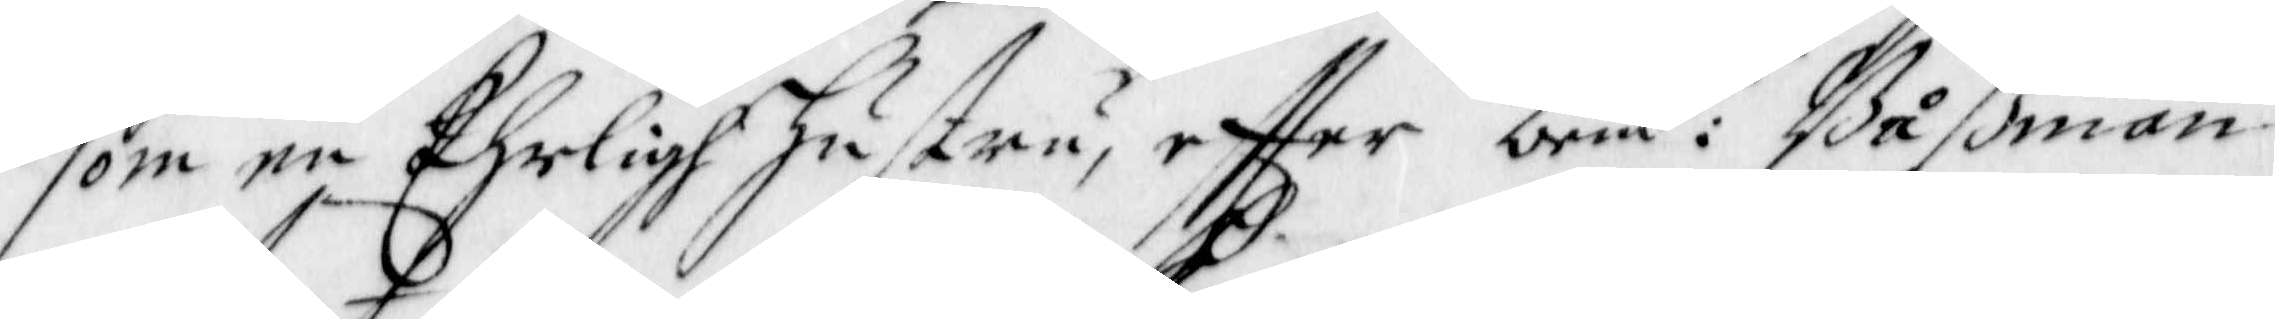som en Ehrligh hustru, effter bem:te Båßman
